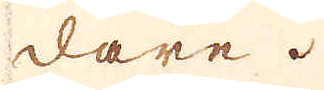dare.
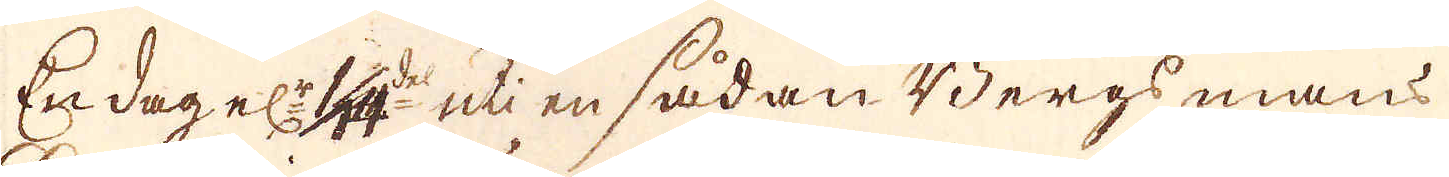En dag el:r 1/14 del uti en sådan Bergs mans
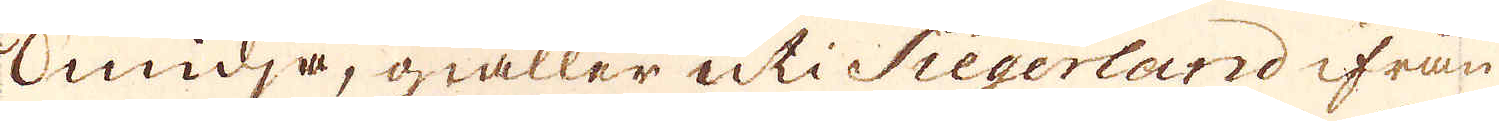Smidja, giäller uti Siegerland ifrån
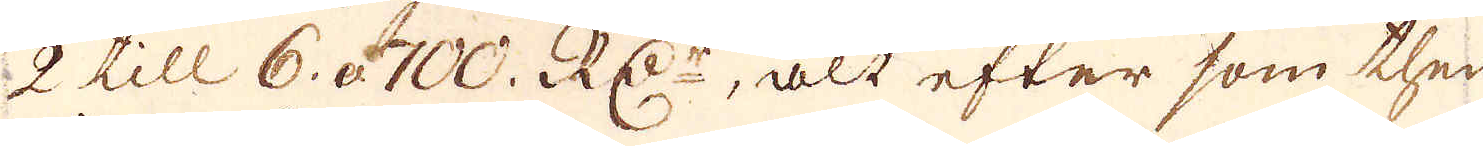2 till 6. à 700. RD:r, alt efter som ther
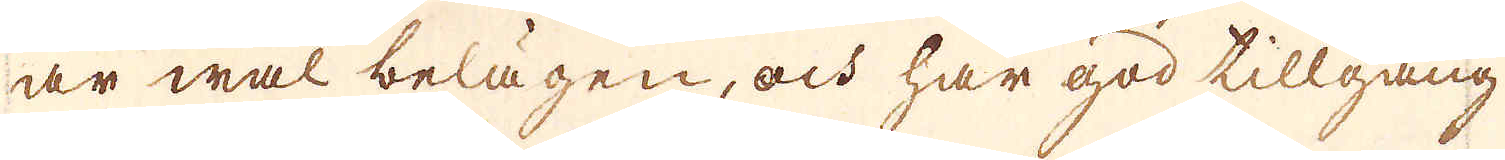är wäl belägen, och här god tillgång
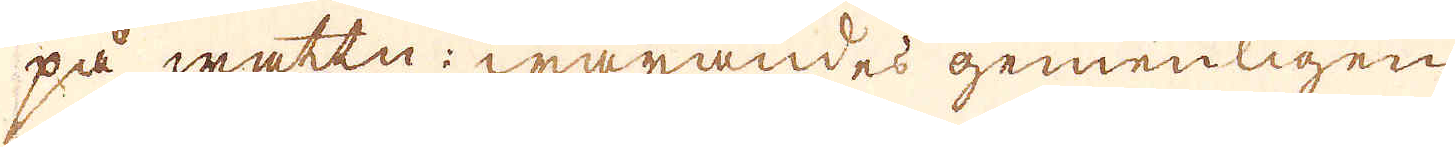på wattn; warandes gemenligen
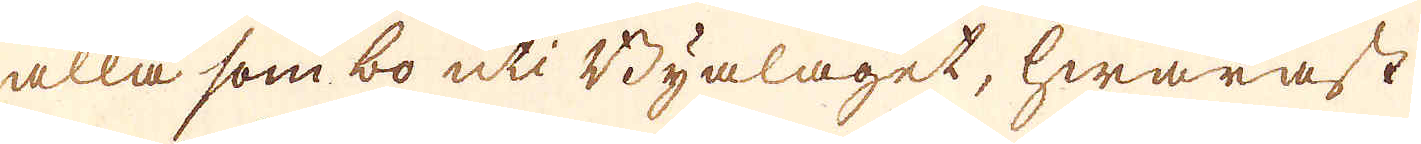alla som bo uti Byalaget, hwaräst
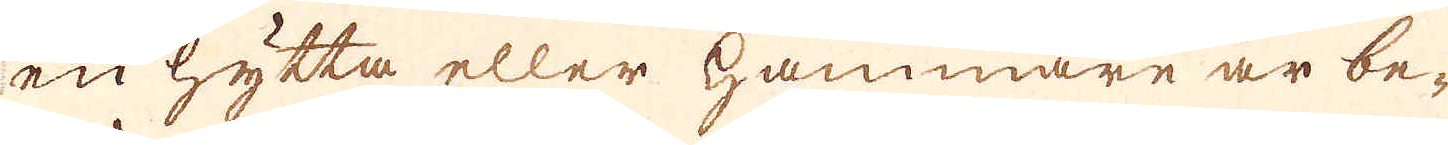en hytta eller Hammare är be-
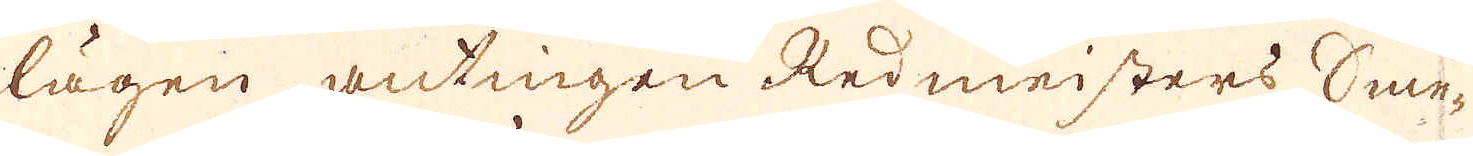lägen antingen Redmeisters Sme-
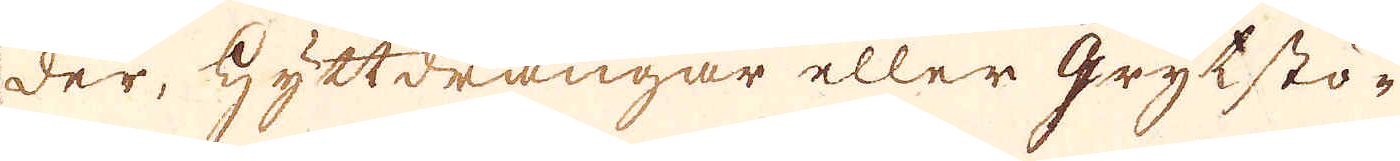der, Hyttdrängar eller grytstö-
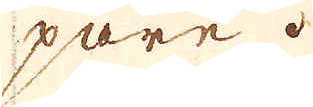pare.
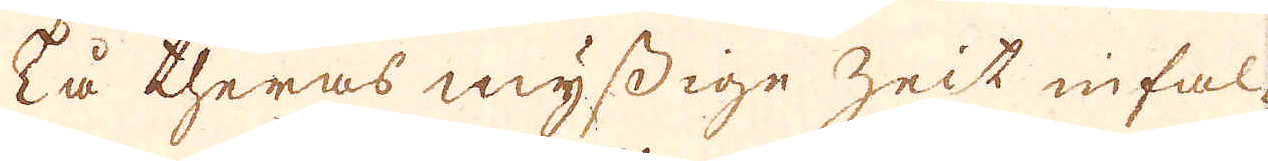På theras myssige zeit infal-
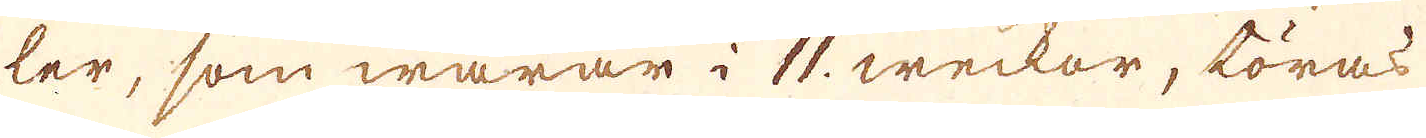ler, som warar i 11. weckor, töras
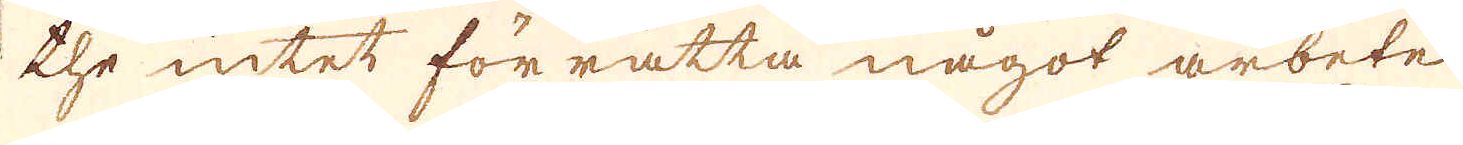the intet förrätta något arbete
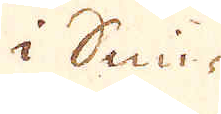i Smi-
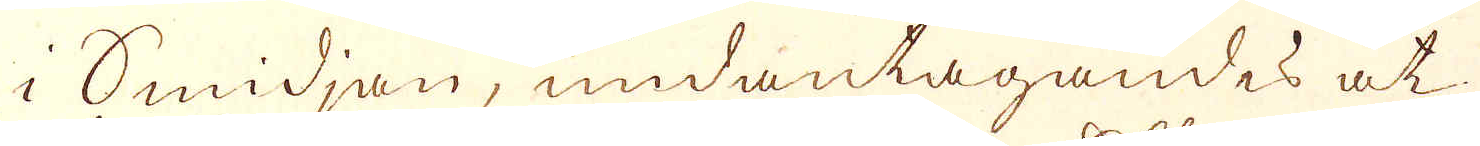i Smidjan, undantagandes at
